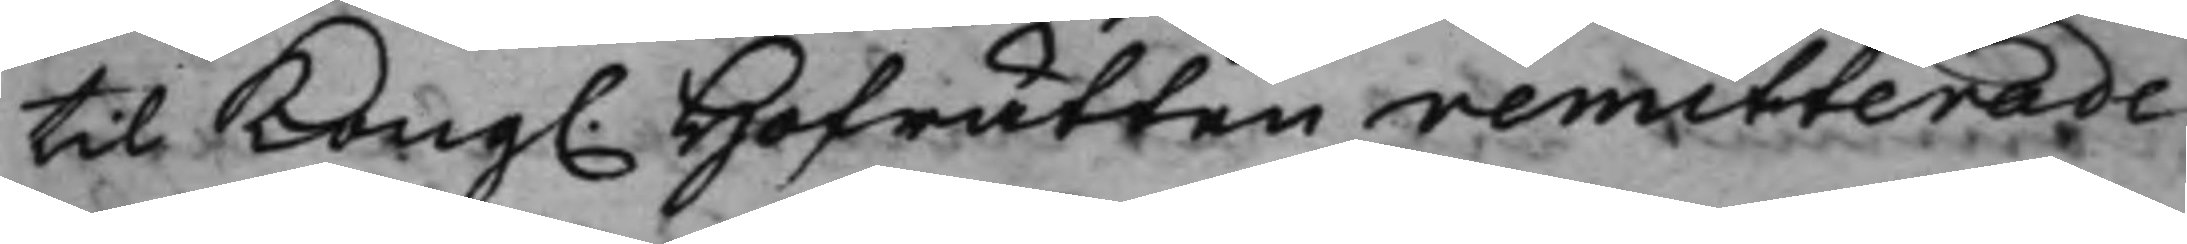til Kong. Hofrätten remitterade
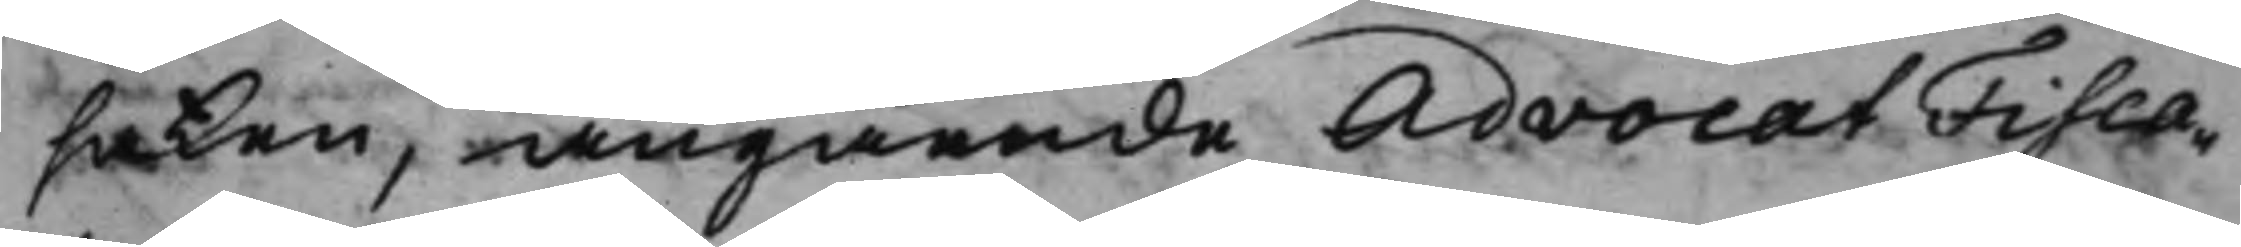saken, angående AdvocatFisca¬
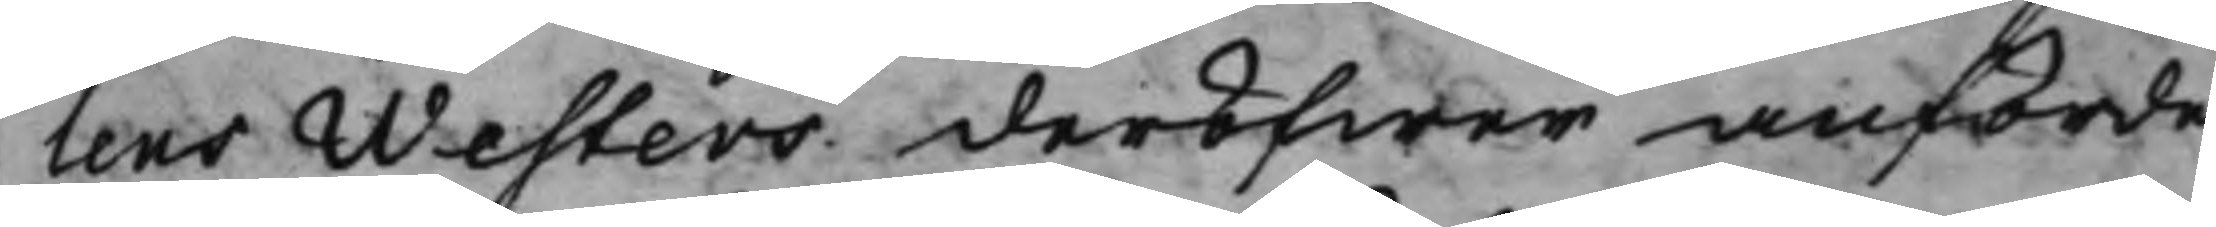lens Westers deröfwer anförde
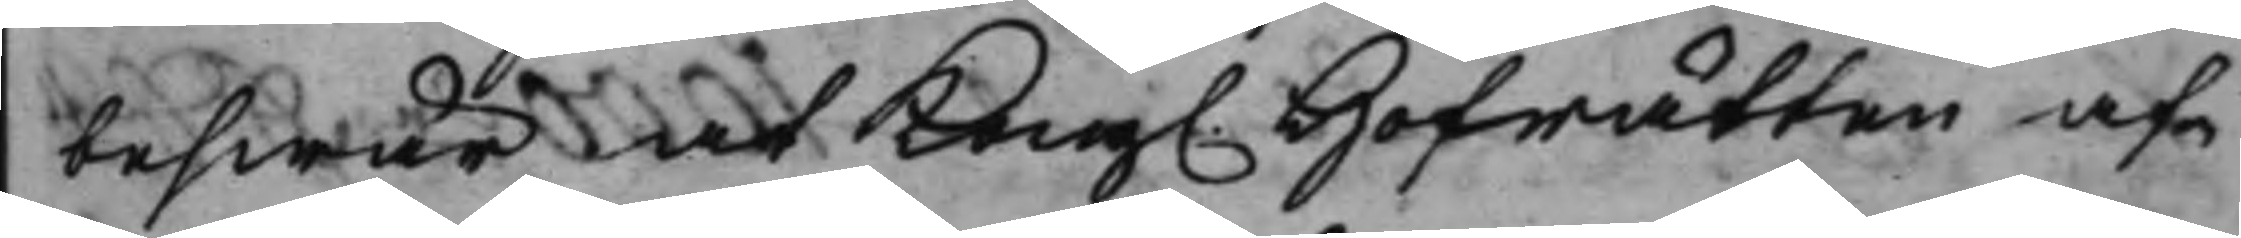beswär at Kong. Hofrätten af¬
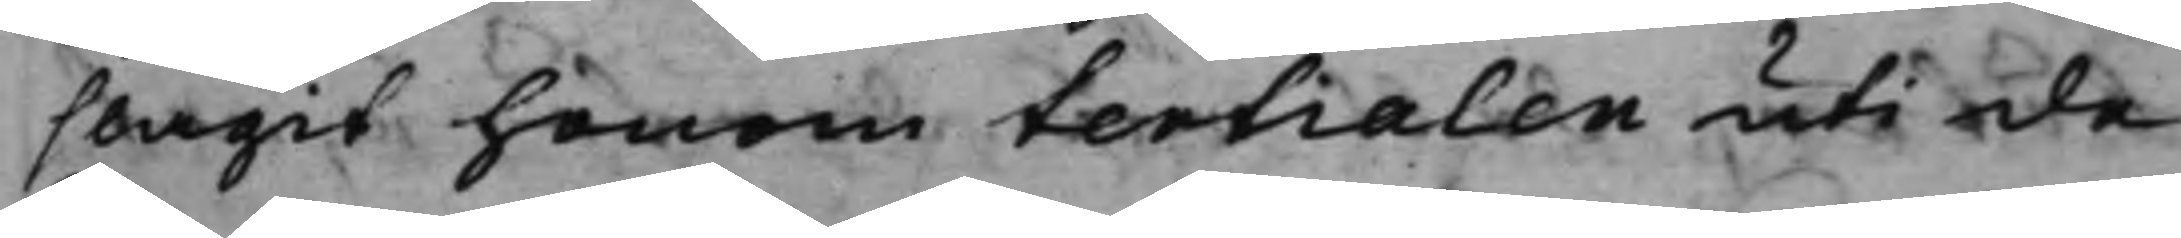slagit honom tertialen uti de
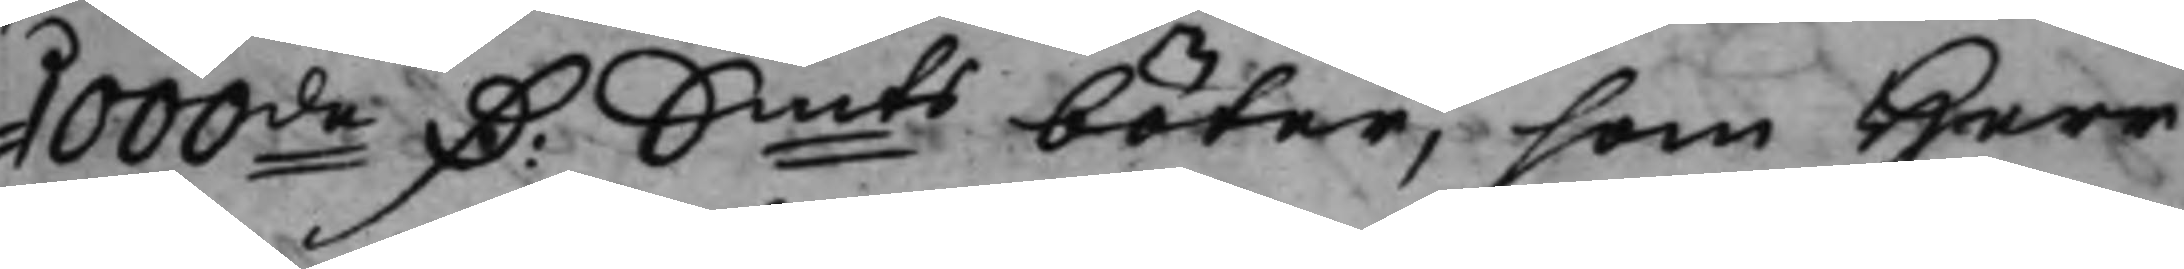1000de D: Smts böter, som Herr
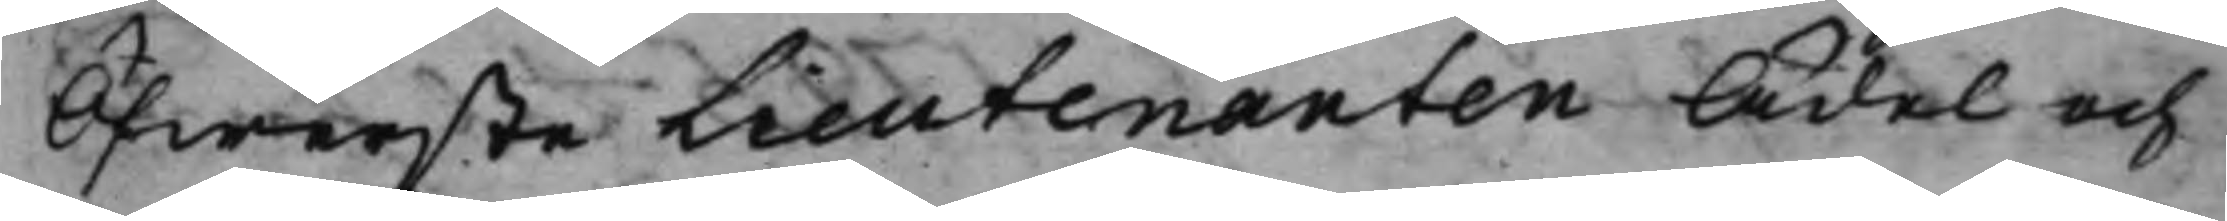Öfwerste Lieutenanten Ädel och
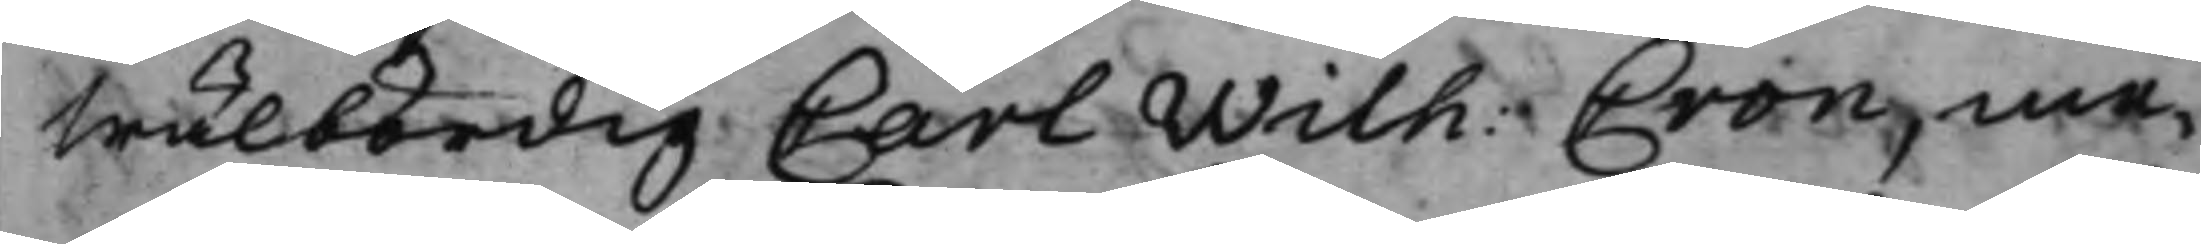Wälbördig Carl Wilh: Cron, me¬
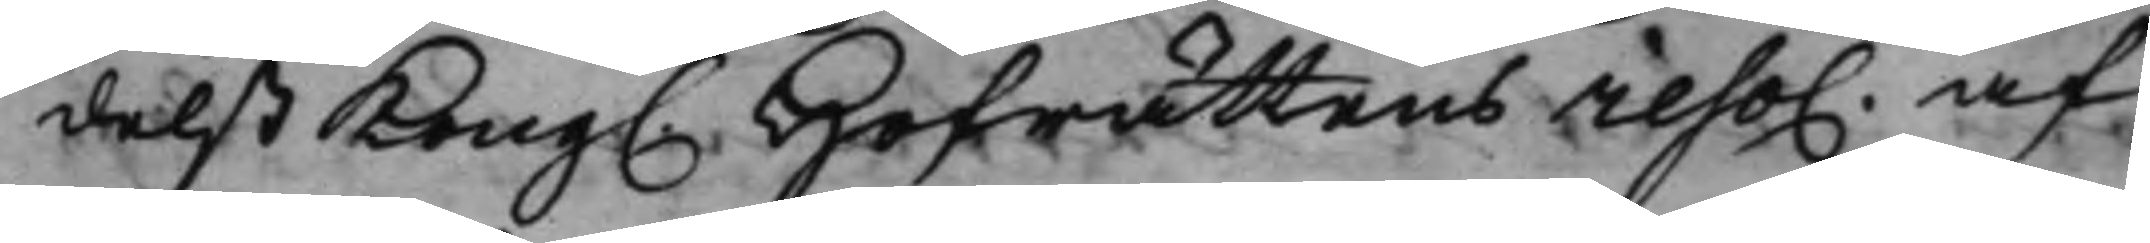delst Kong. Hofrättens reso. af
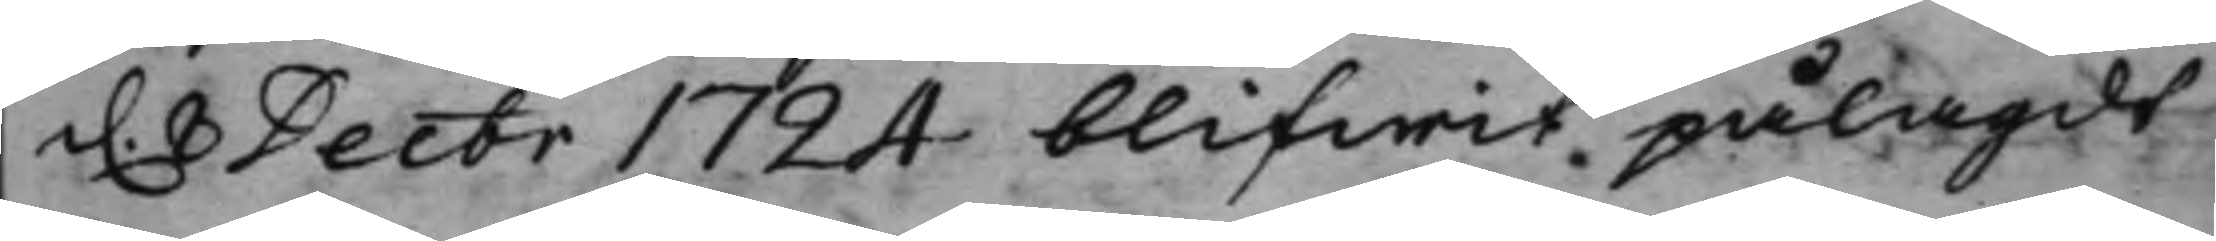d. 8 Decbr 1724 blifwit pålagdt
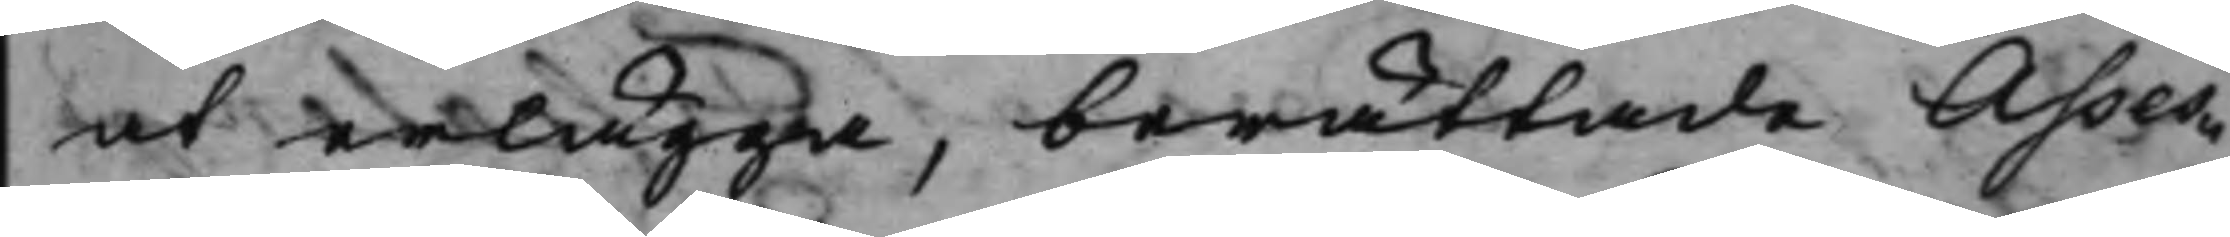at erlägga, berättande Asses¬
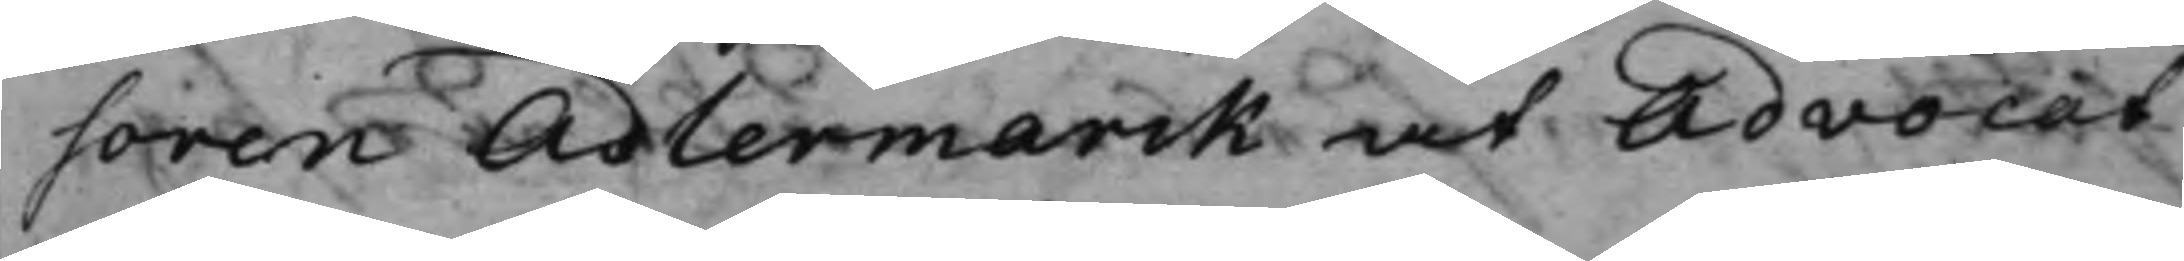soren Adlemarck at Advocat¬
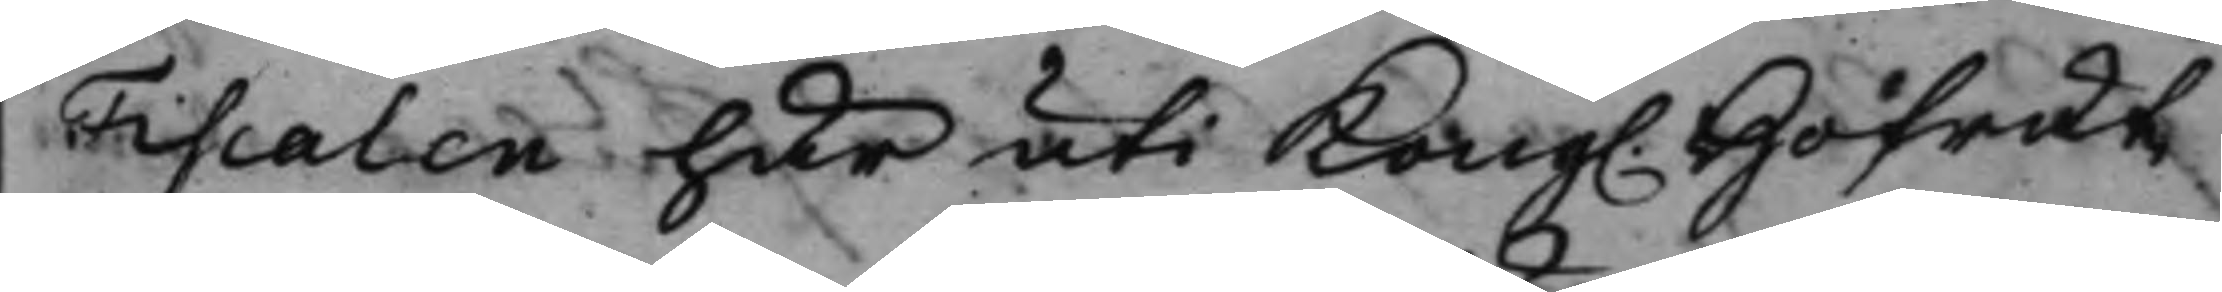Fiscalen här uti Kong. Hofrät¬
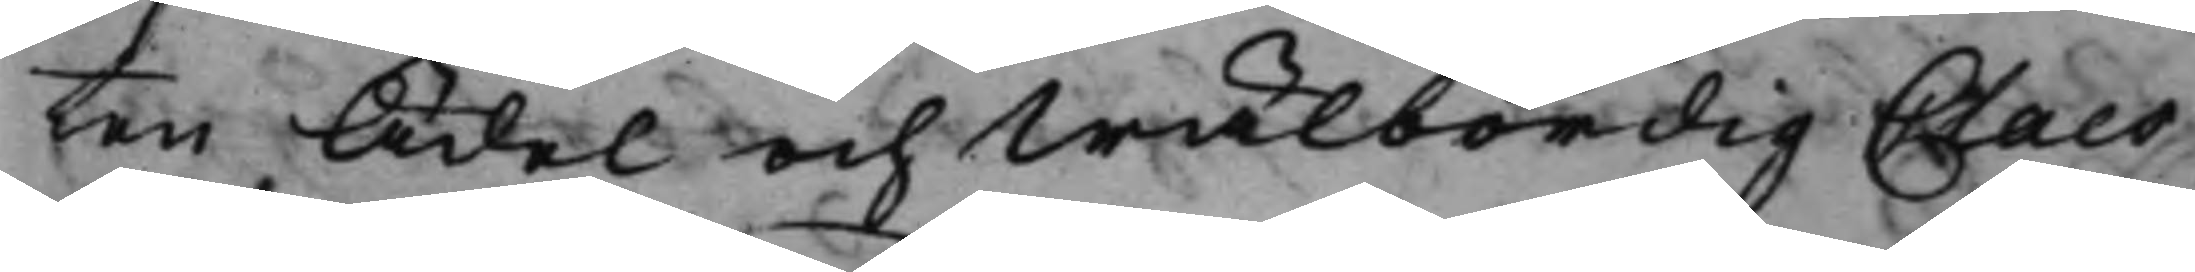ten Ädel och Wälbördig Claes
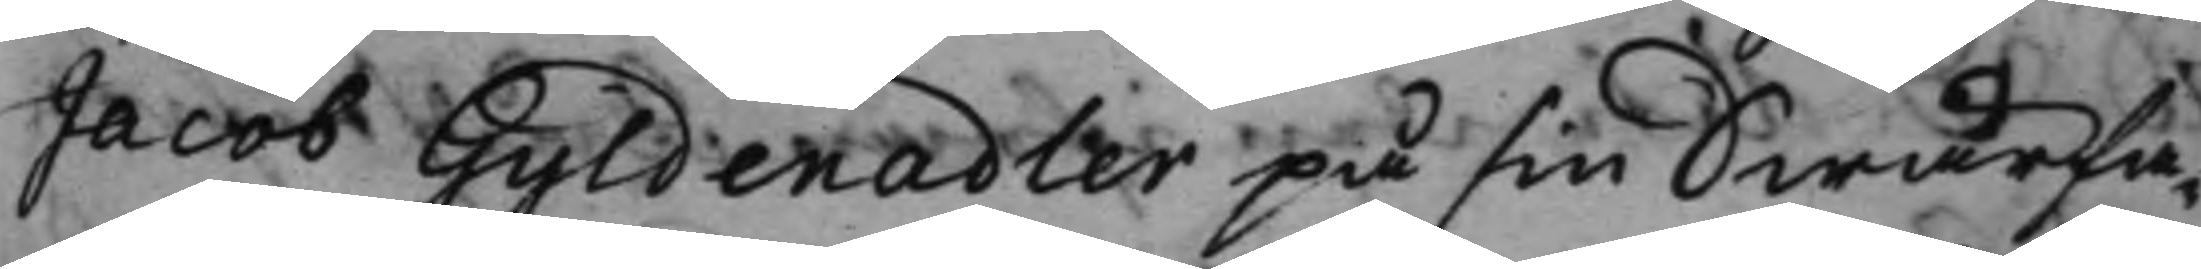Jacob Gyldenadler på sin Swärfa¬
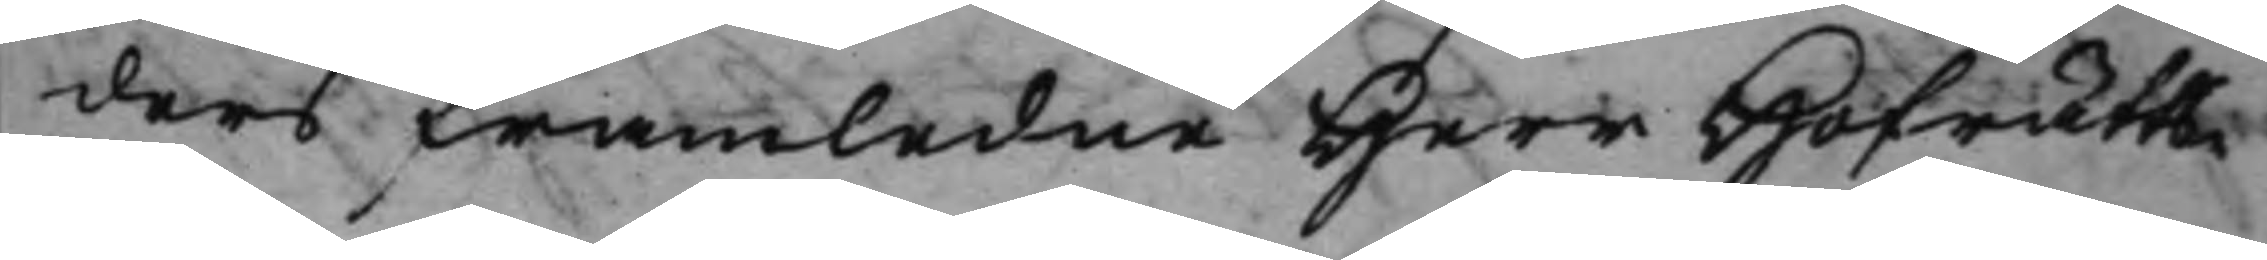ders framledne Herr Hofrätts¬
